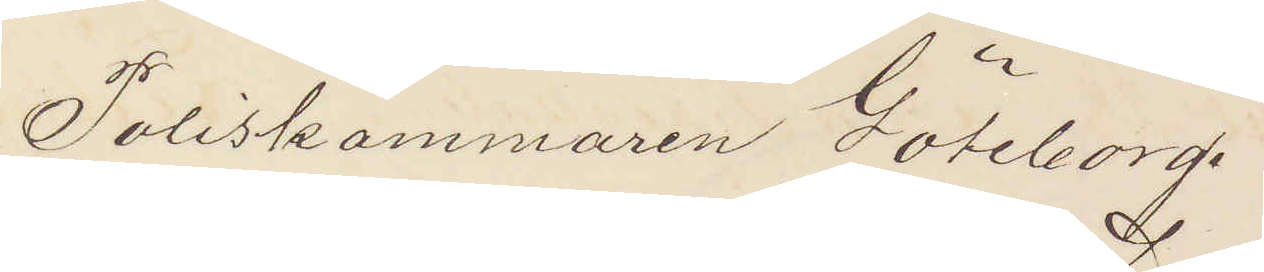Poliskammaren Göteborg
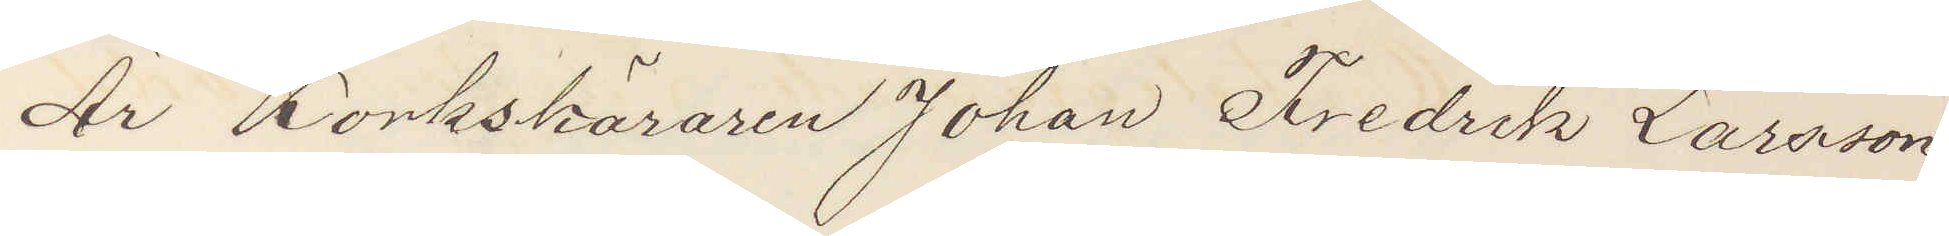Är Korkskäraren Johan Fredrik Larssson
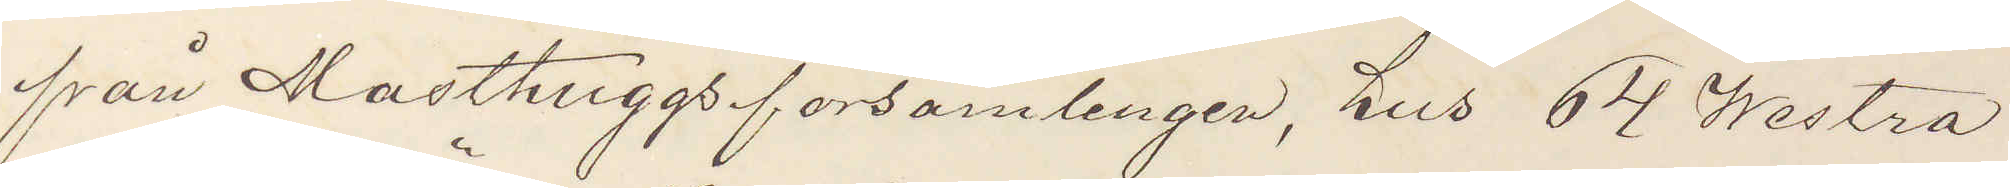från Masthuggsförsamlingen, hus 64 Westra
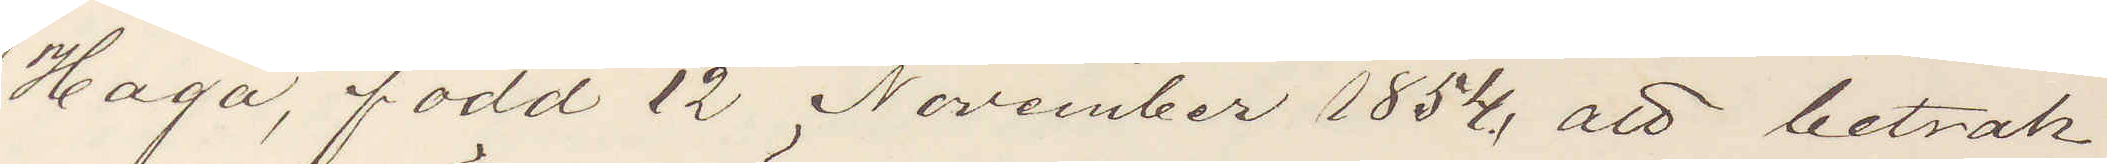Haga, född 12 November 1854, att betrak¬
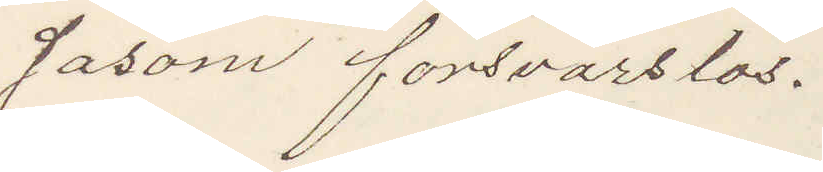ta såsom försvarslös.
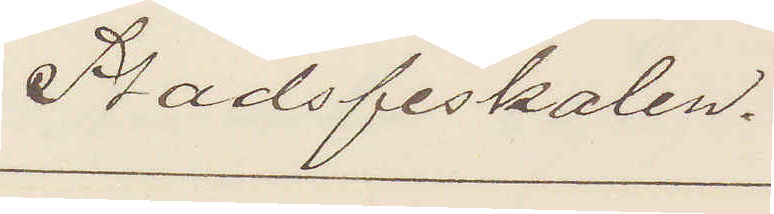Stadsfiskalen.
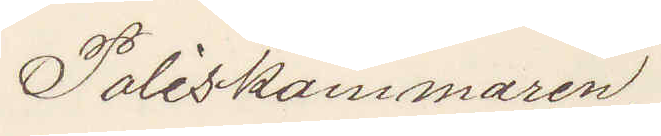Poliskammaren.
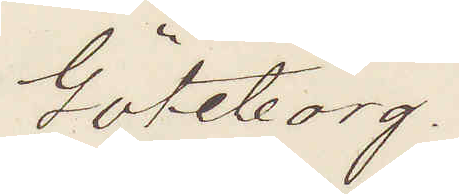Göteborg.
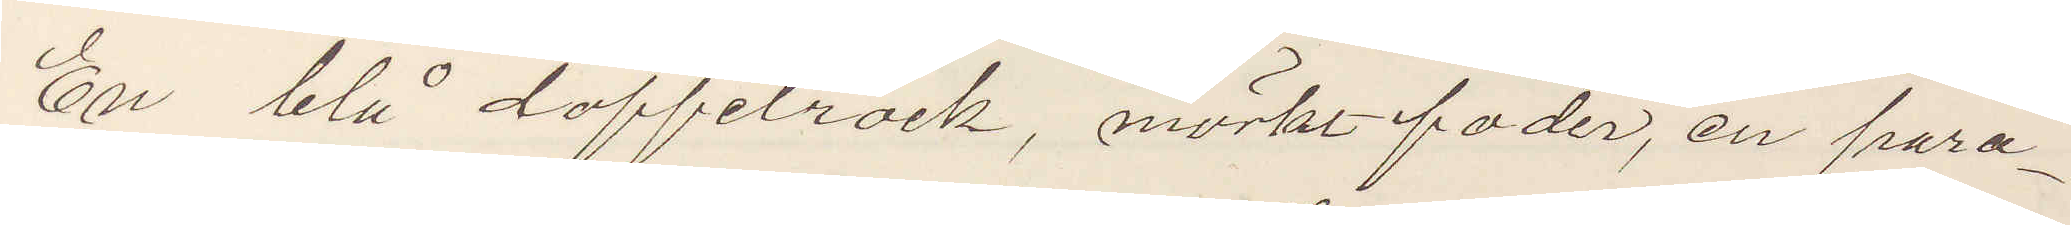En blå doffelrock, mörkt foder, en para¬
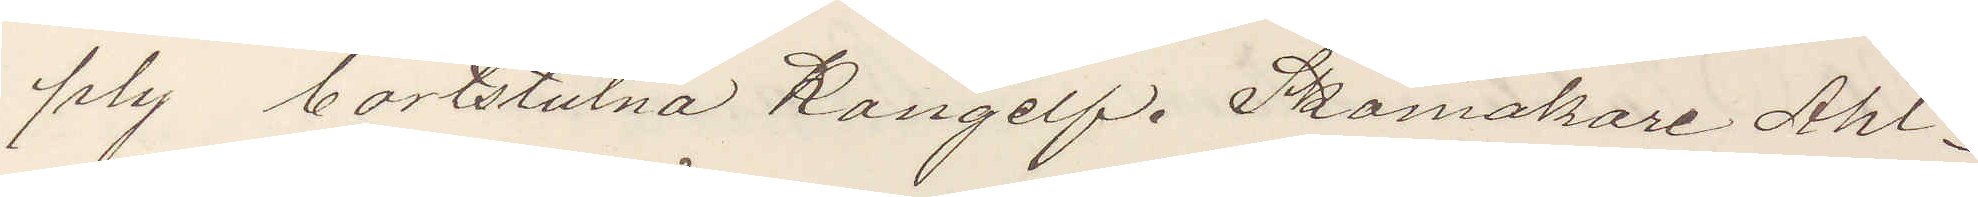ply bortstulna Kongelf. Skomakare Ahl¬
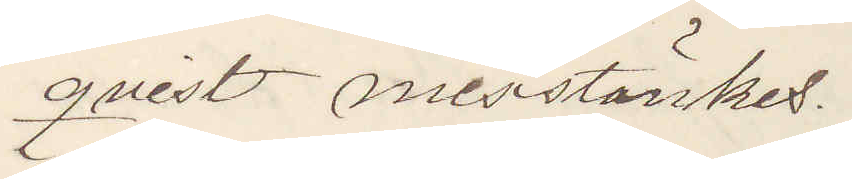qvist misstänkes.
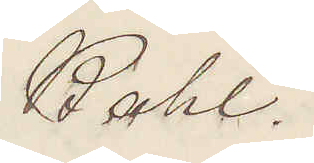Kahl.
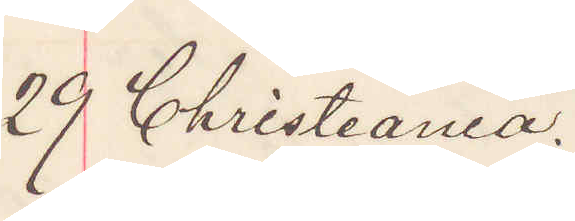29 Christiania,
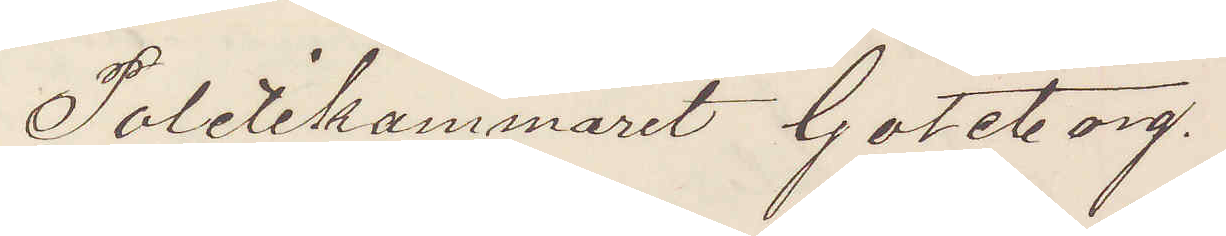Politikammaret Göteborg.
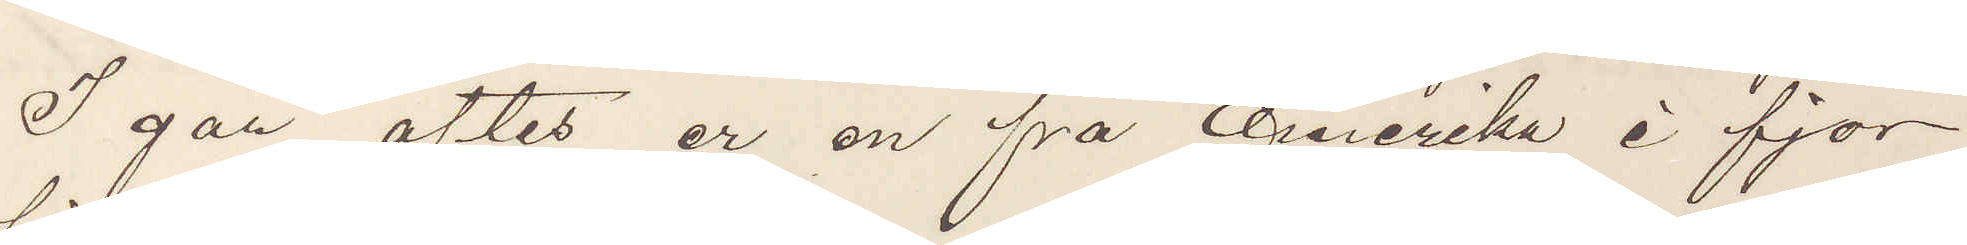I går aftes er en på Amerika i fjor
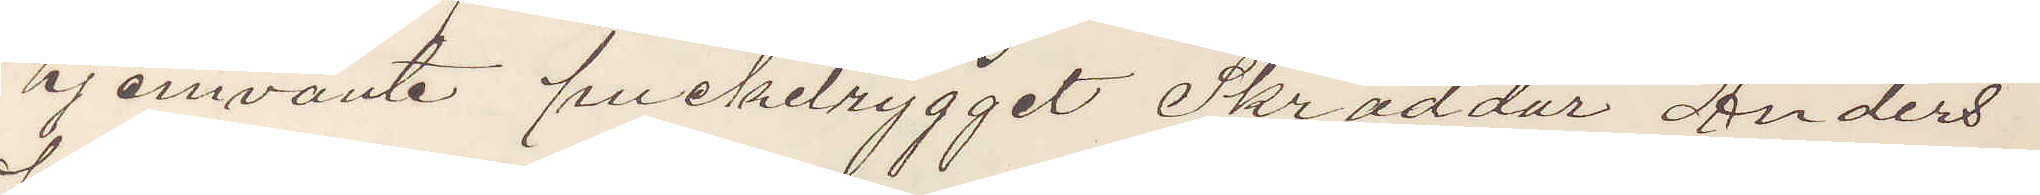hjemvänte puckelrygget Skräddur Anders
